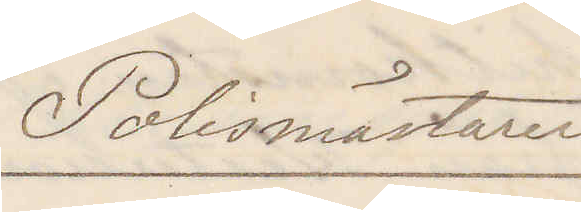Polismästaren
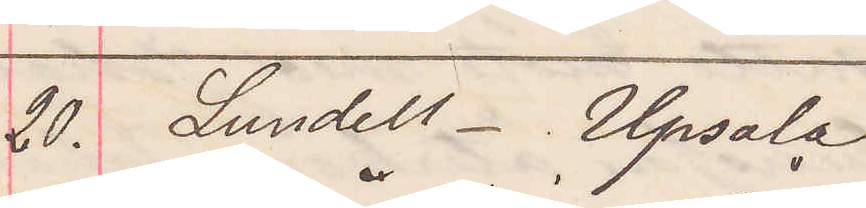20. Lundell. Upsala
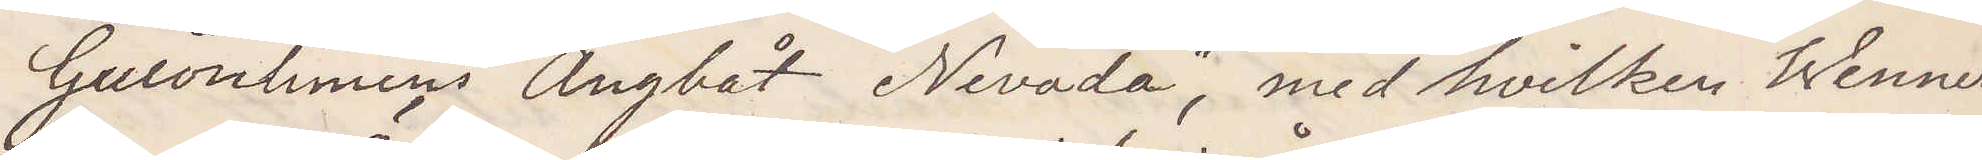Guionliniens Ångbåt "Nevada" med hvilken Wenner¬
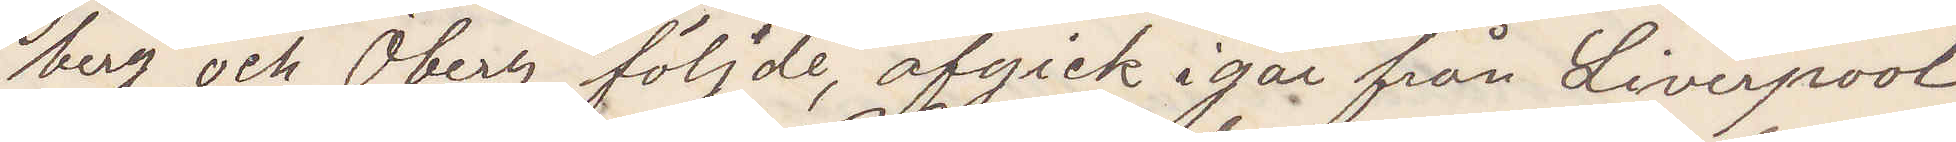berg och Öberg följde, afgick igår från Liverpool
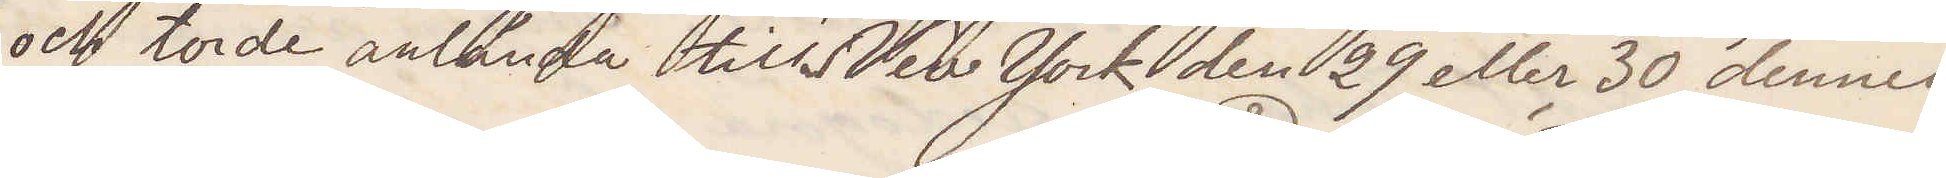och torde anlända till New York den 29 eller 30 dennes.
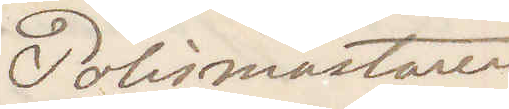Polismästaren
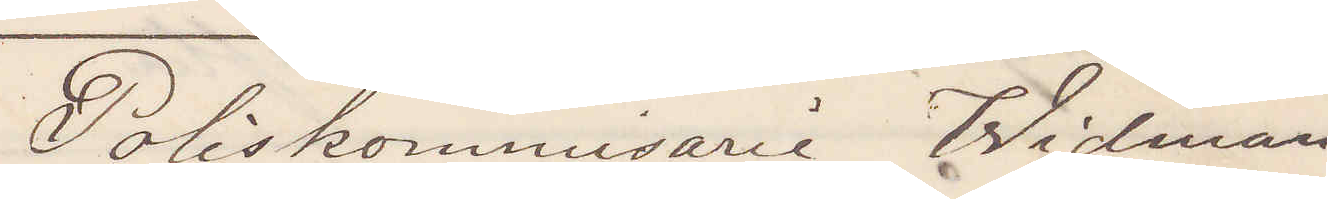Poliskommisarie Widman
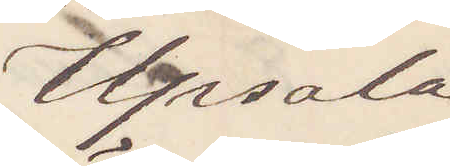Upsala
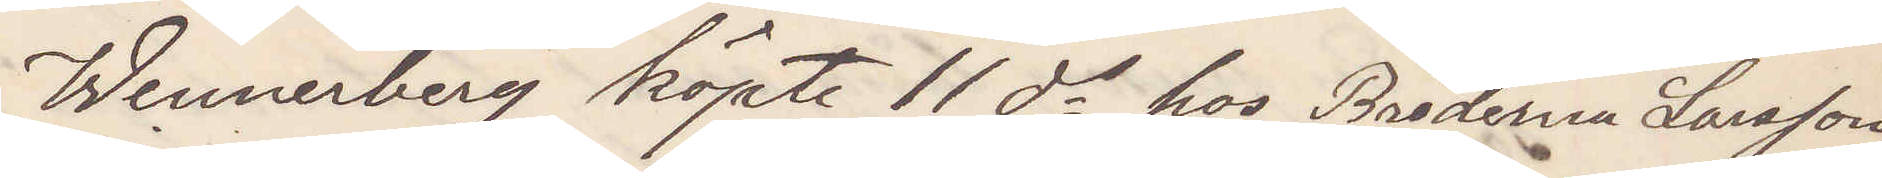Wennerberg köpte 11 ds hos Bröderna Larsson
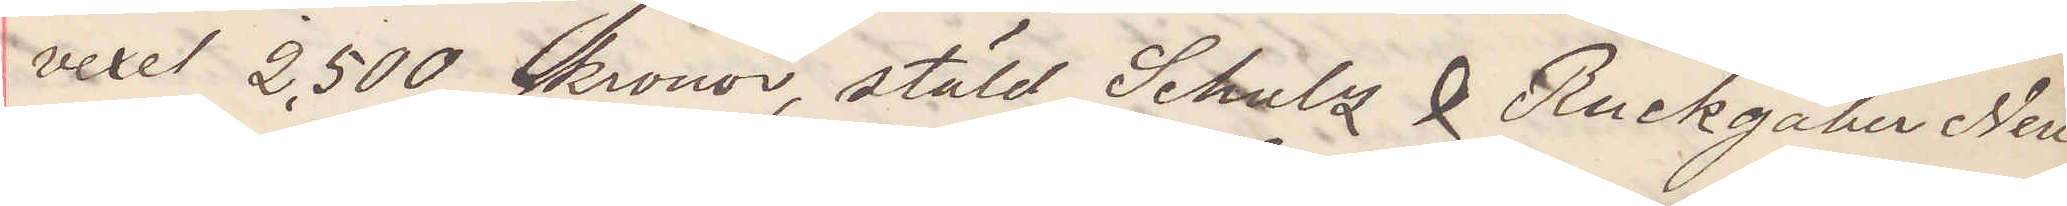vexel 2,500 kronor, stäld Schultz & Ruckgaher New
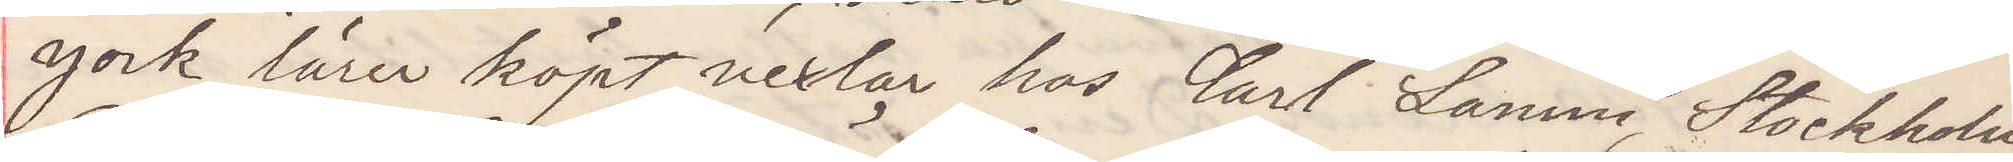York lärer köpt vexlar hos Carl Lamm, Stockholm
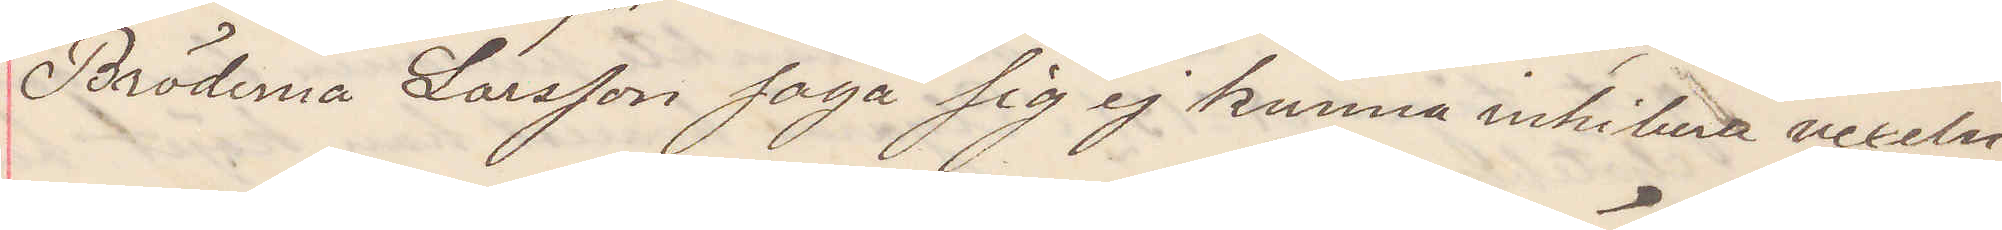Bröderna Larsson säga sig ej kunna inhibera vexeln.
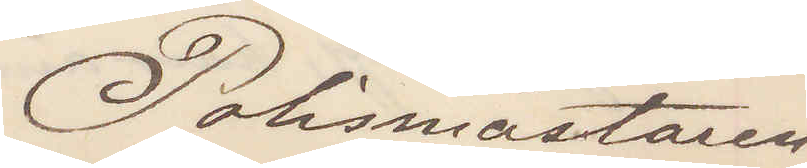Polismästaren
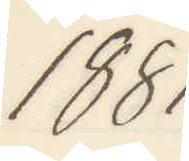1881
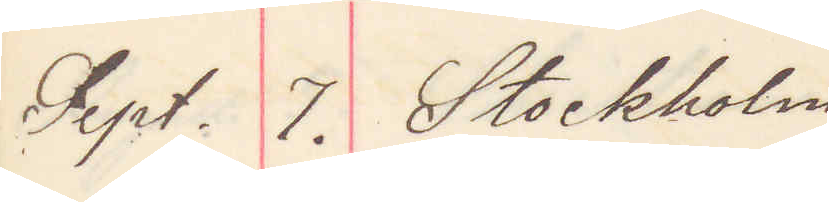Sept 7. Stockholm
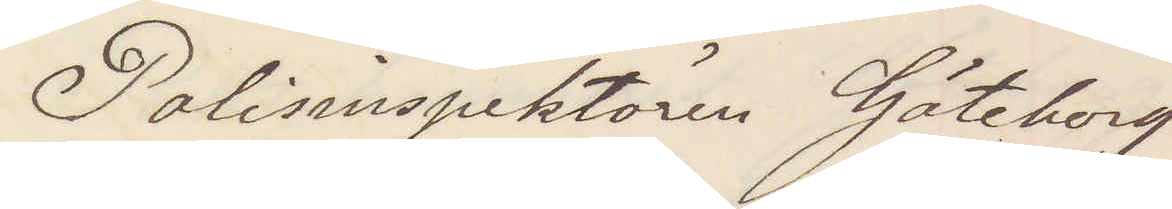Polisinspektören Göteborg
